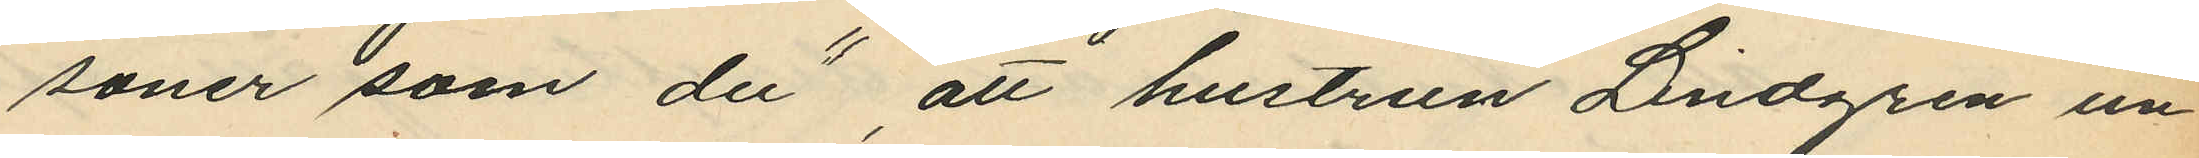söner som du", att hustrun Lindgren un¬
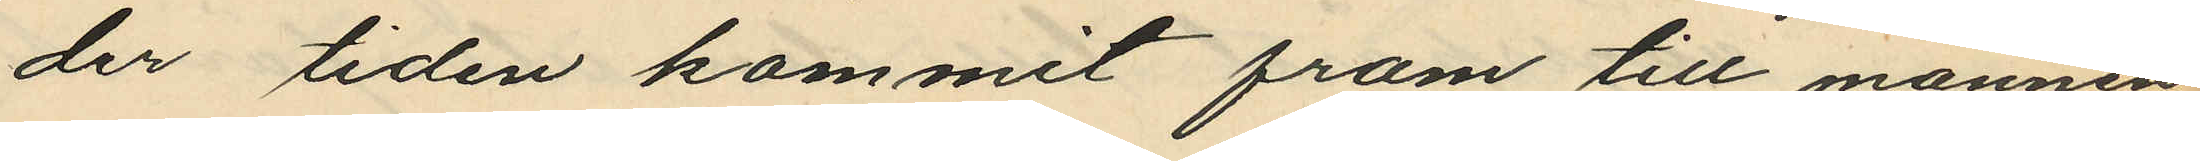der tiden kommit fram till mannen
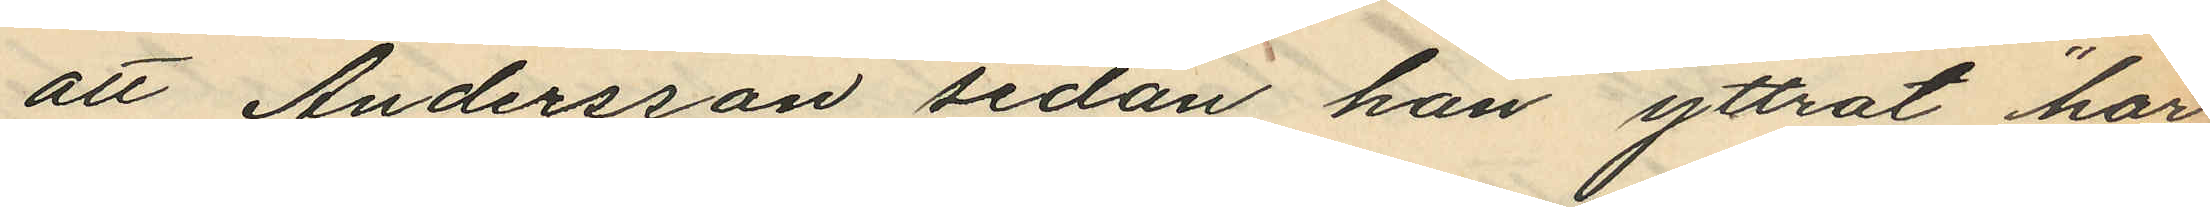att Andersson sedan han yttrat "har
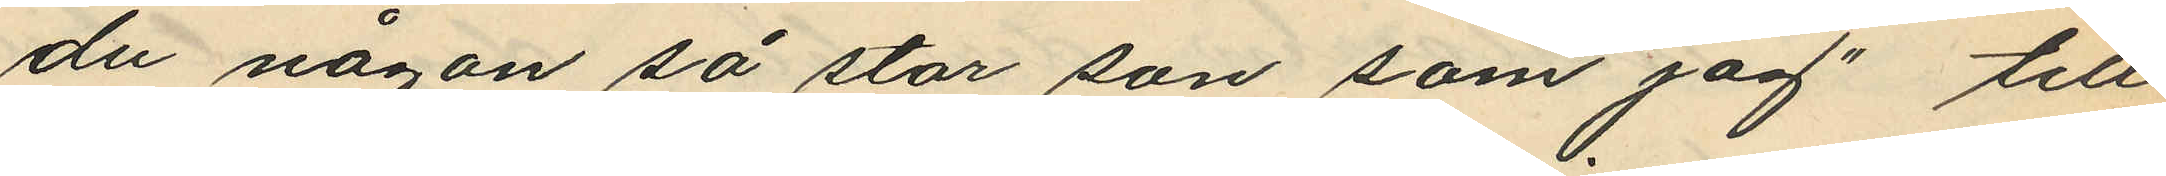du någon så stor son som jag" till
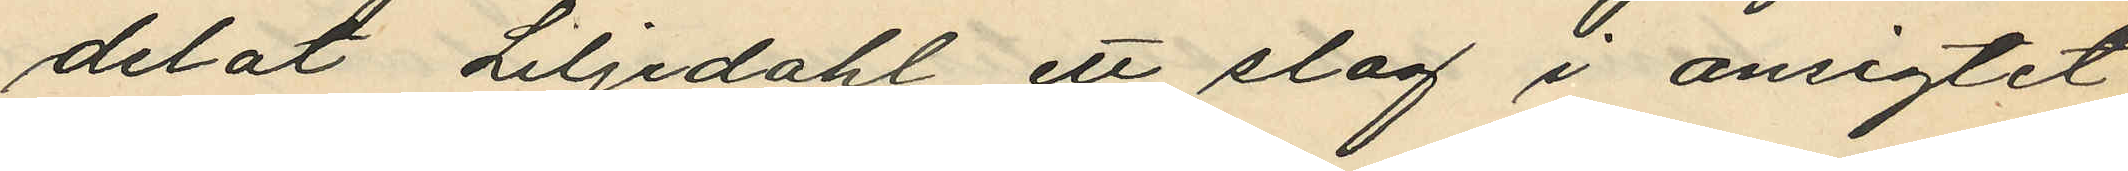delat Liljedahl ett slag i ansigtet
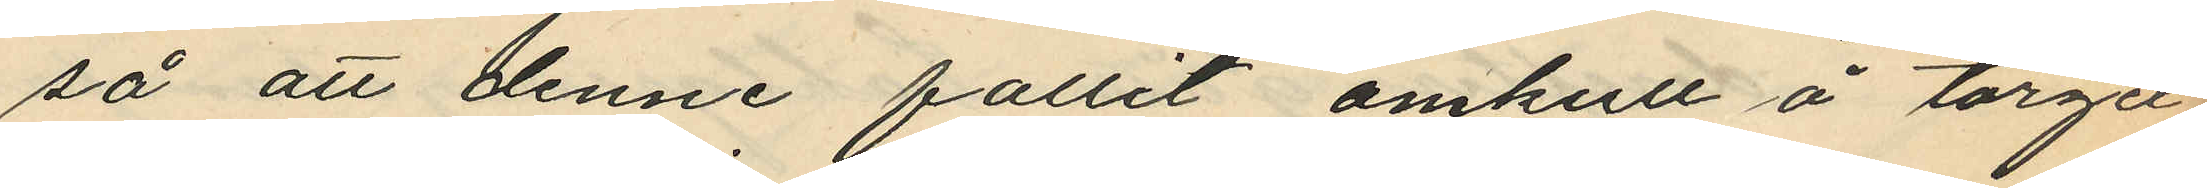så att denne fallit omkull å torget
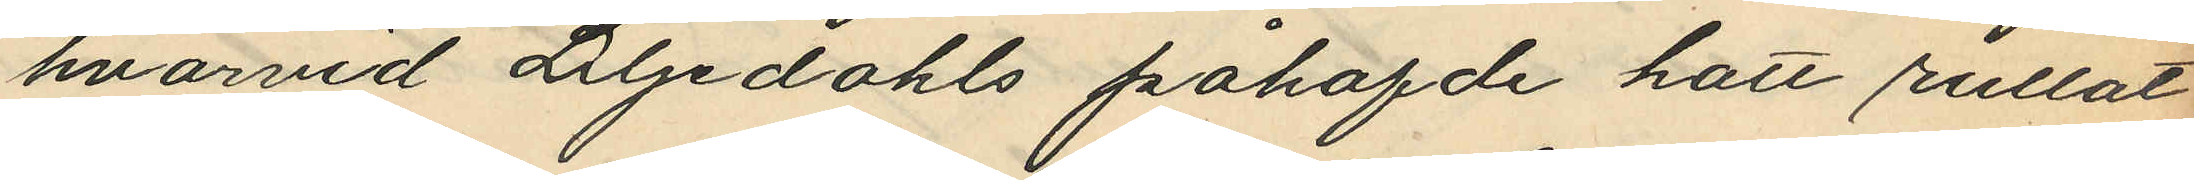hvarvid Liljedahls påhafde hatt rullat
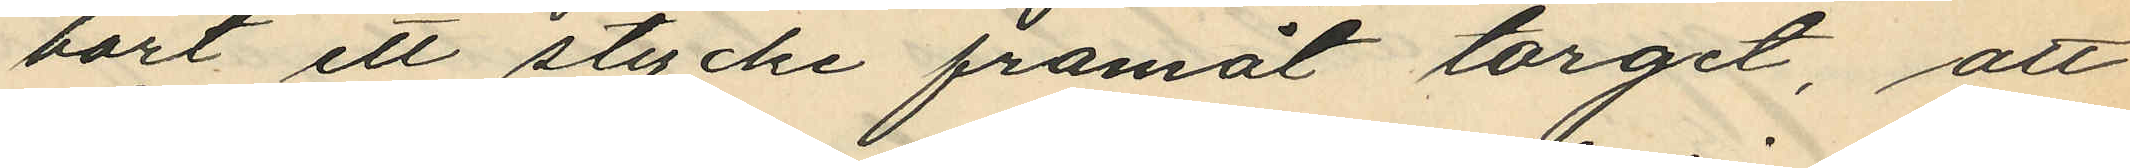bort ett stycke framåt torget, att
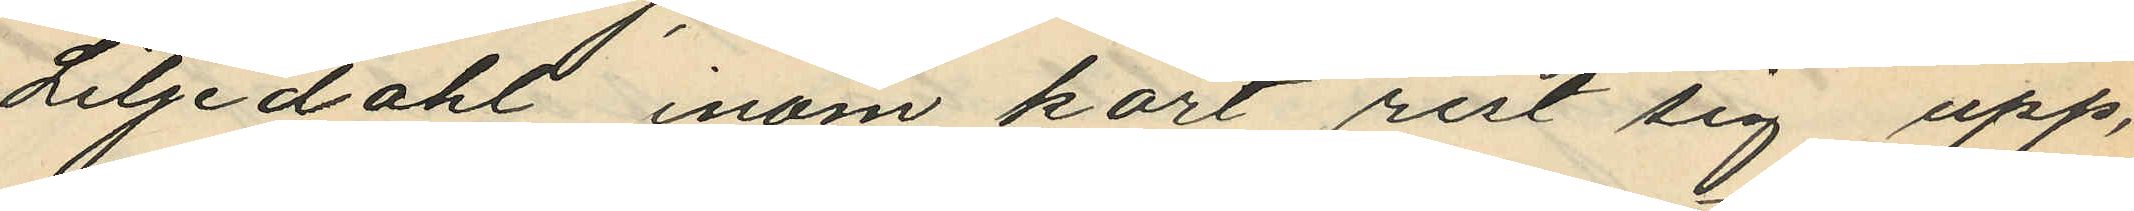Liljedahl inom kort rest sig upp,
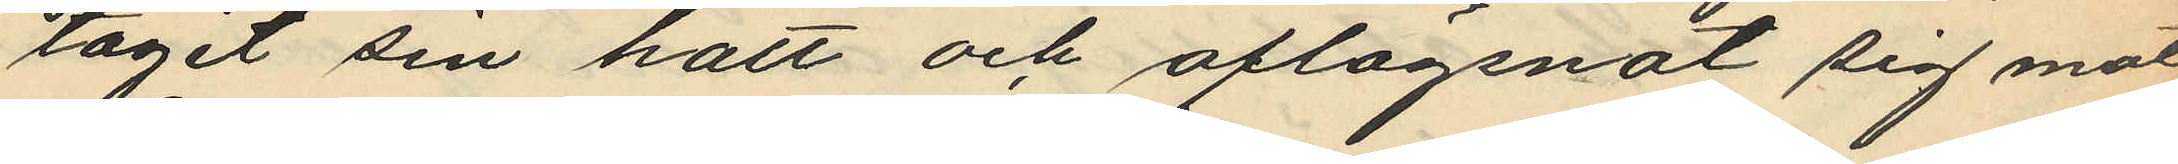tagit sin hatt och aflägsnat sig mot
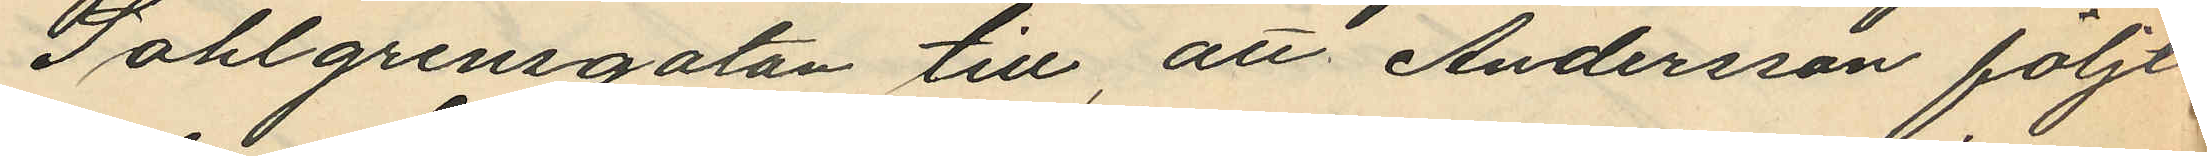Sahlgrensgatan till, att Andersson följt
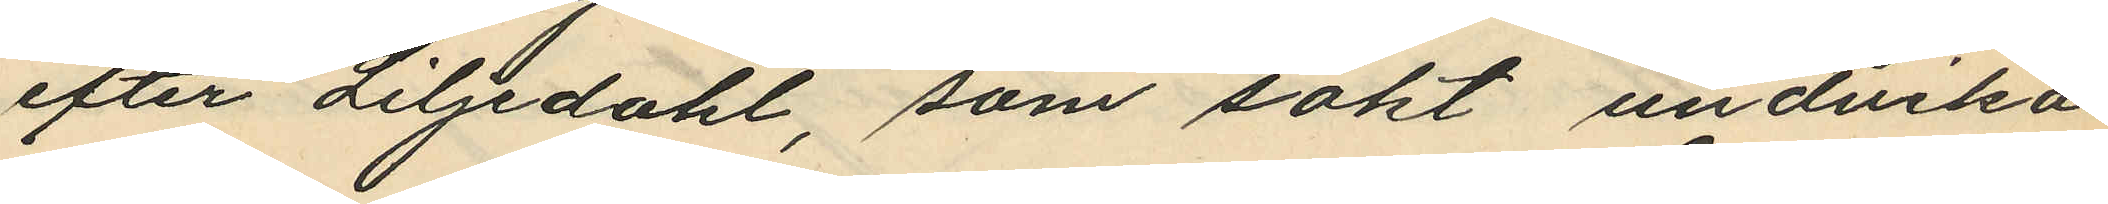efter Liljedahl, som sökt undvika
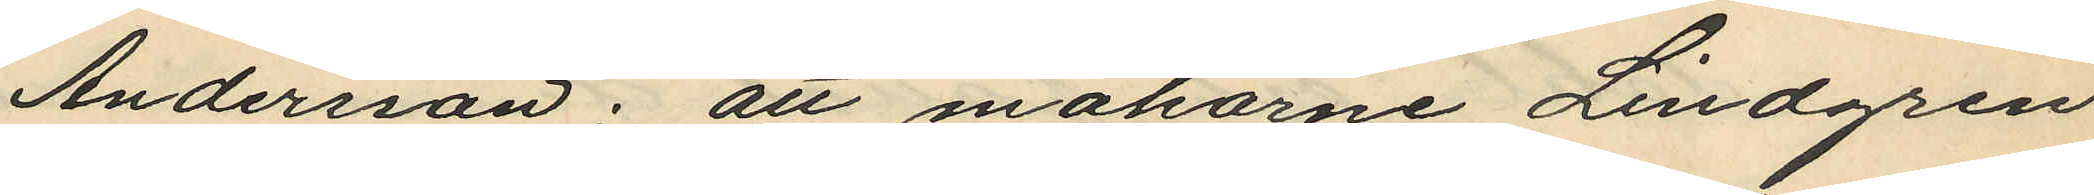Andersson; att makarne Lindgren
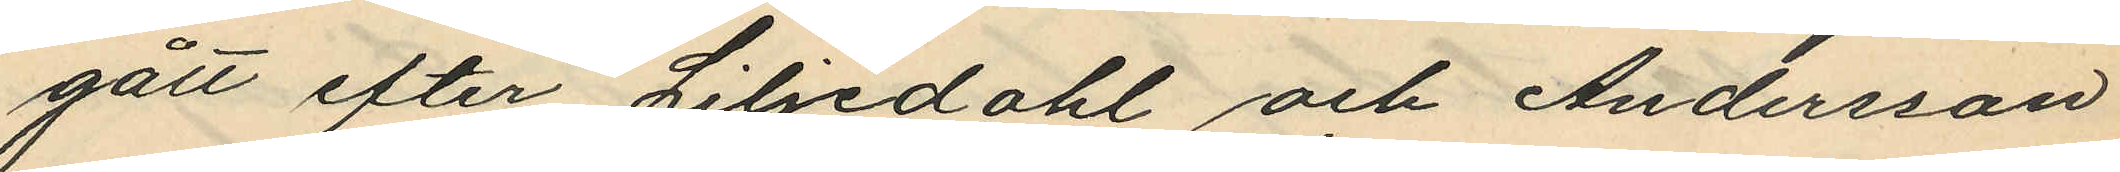gått efter Liljedahl och Andersson
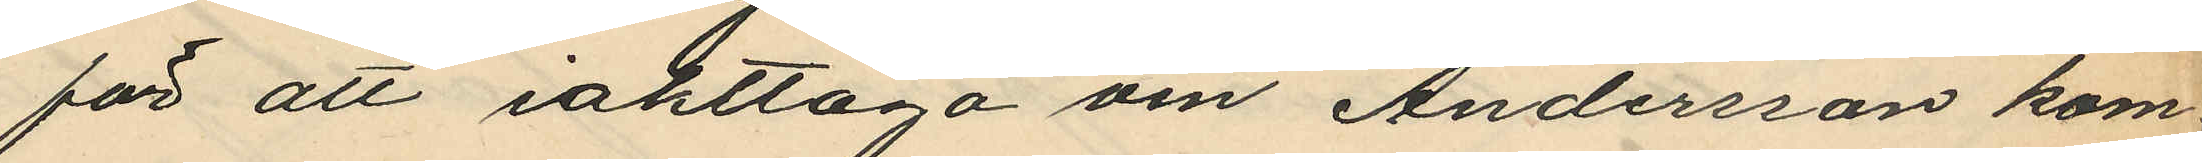för att iakttaga om Andersson kom¬
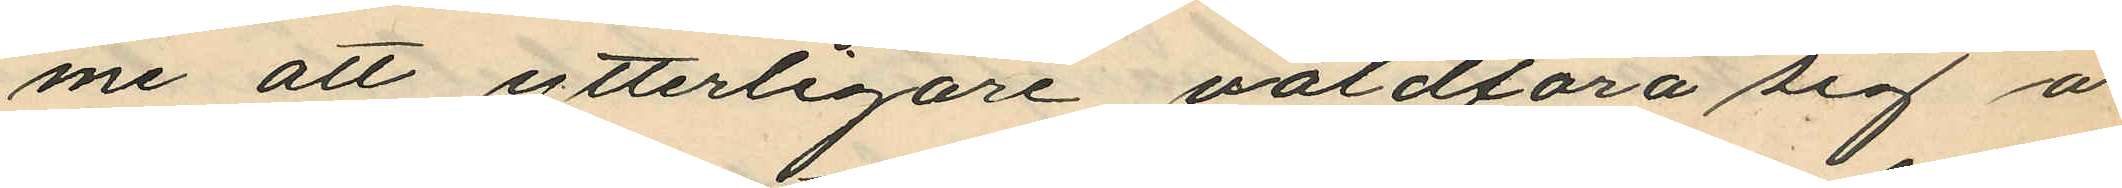me att ytterligare våldföra sig å
